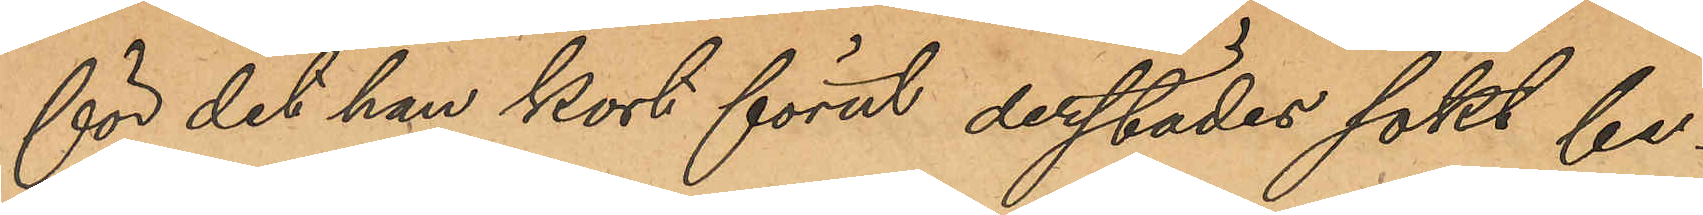för det han kort förut derstädes sökt be¬
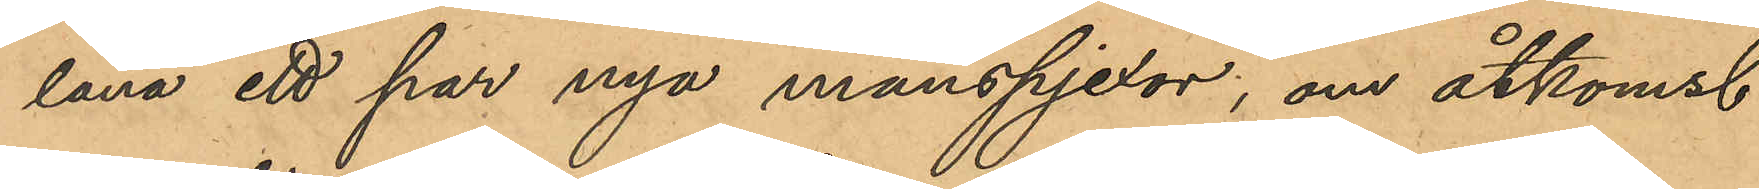låna ett par nya manspjexor, om åtkomst
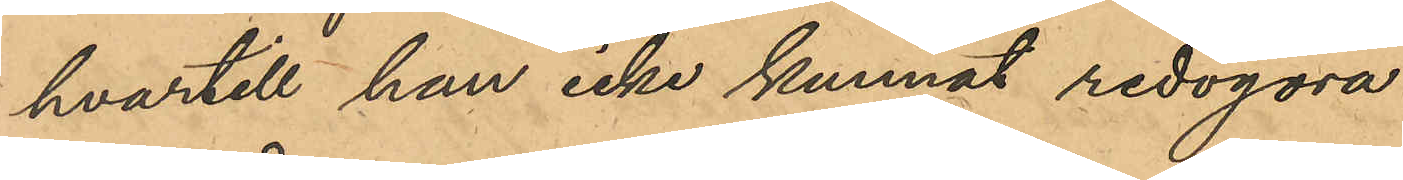hvartill han icke kunnat redogöra.
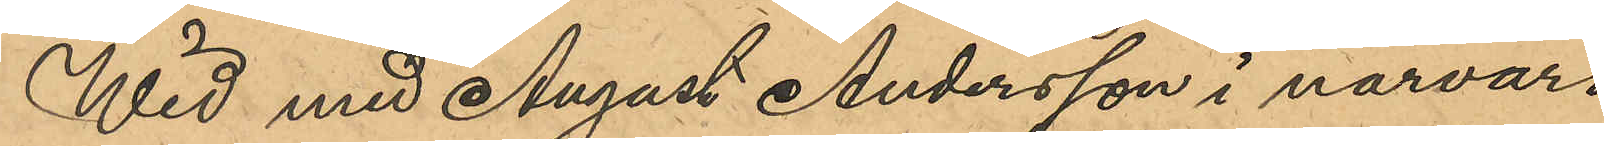Wid med August Andersson i närvaro
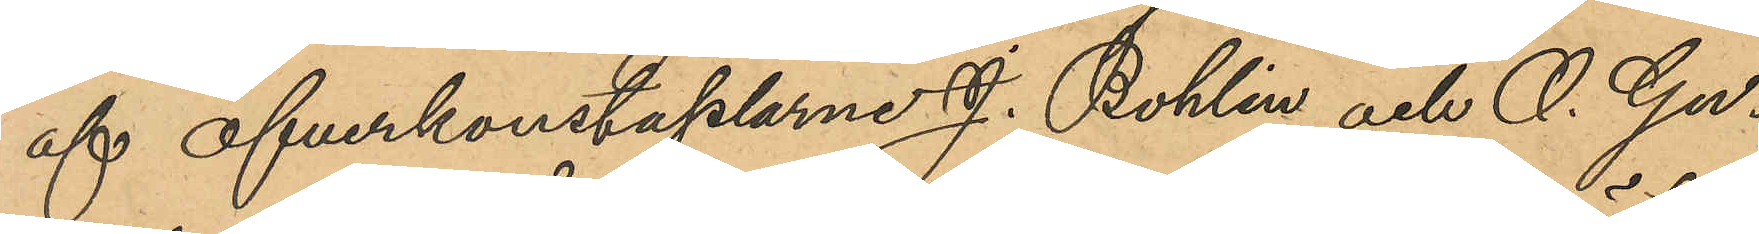af öfverkonstaplarne J. Bohlin och O. Gu¬
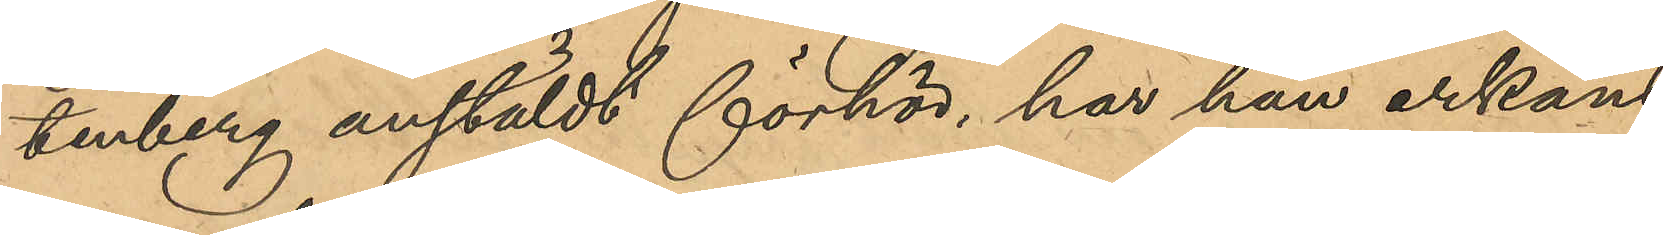tenberg anstäldt förhör, har han erkänt
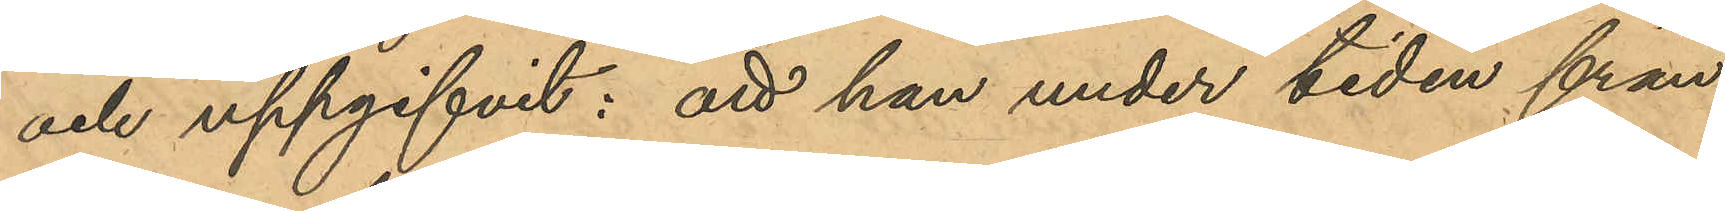och uppgifvit: att han under tiden från
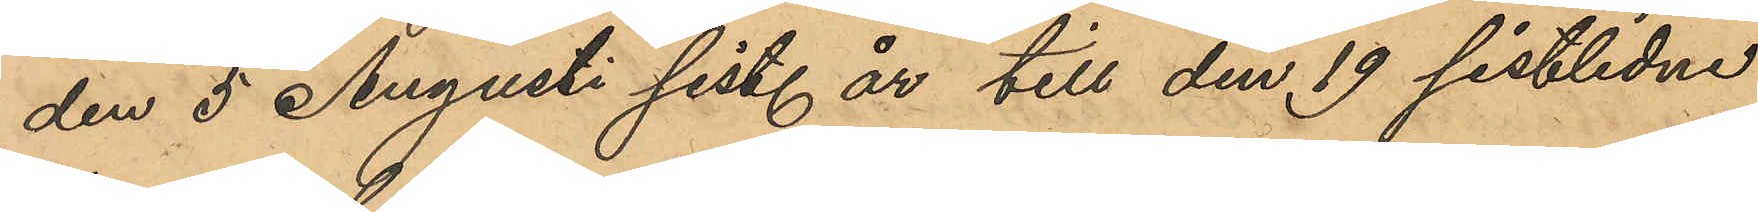den 5 Augusti sist. år till den 19 sistlidne
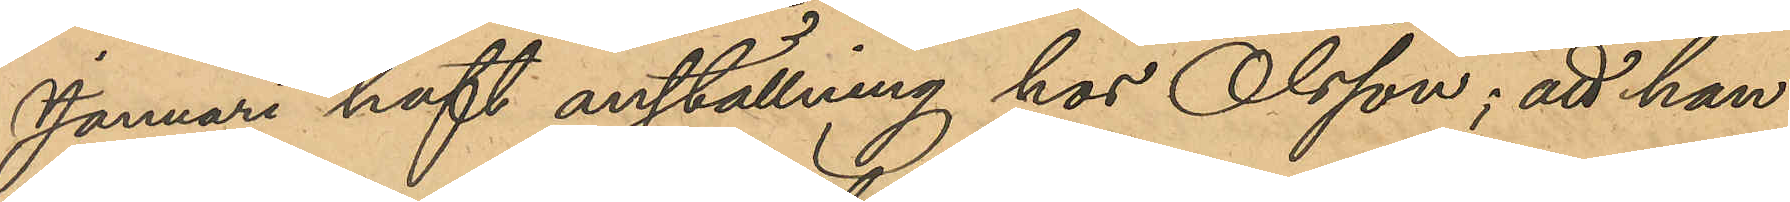Januari haft anställning hos Olsson; att han
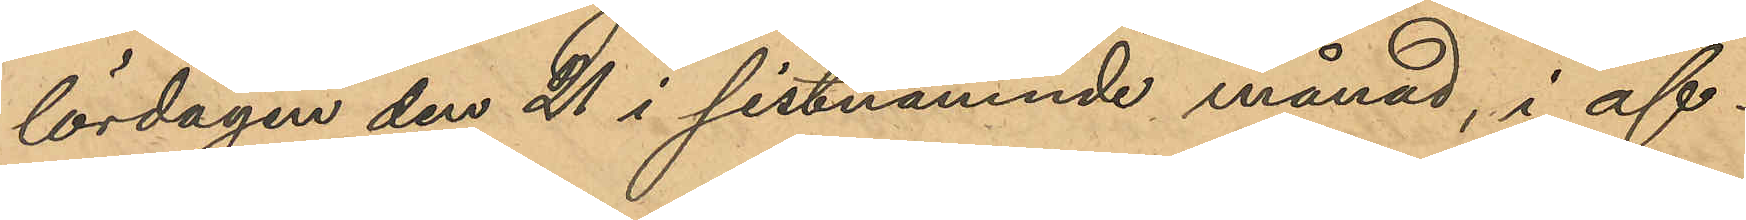lördagen den 21 i sistnämnde månad, i af¬
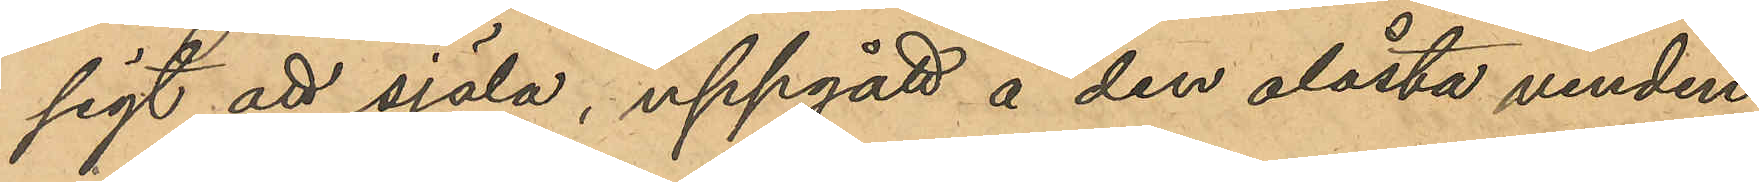sigt att själa, uppgått å den olåsta vinden
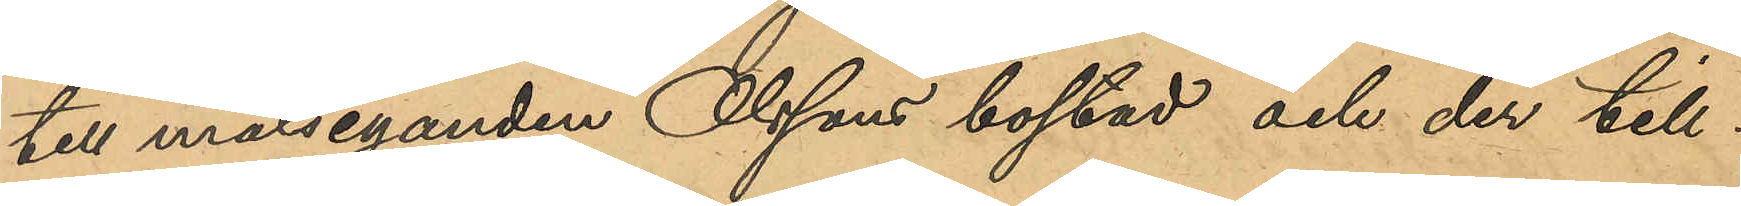till målseganden Olssons bostad och der till¬
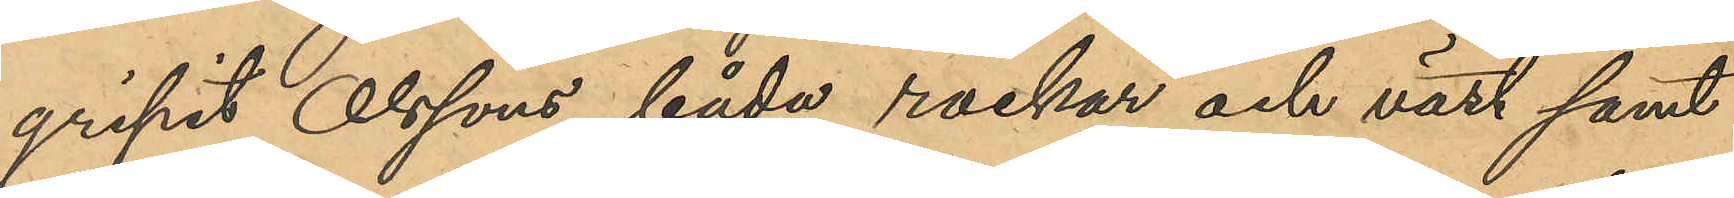gripit Olssons båda rockar och väst samt
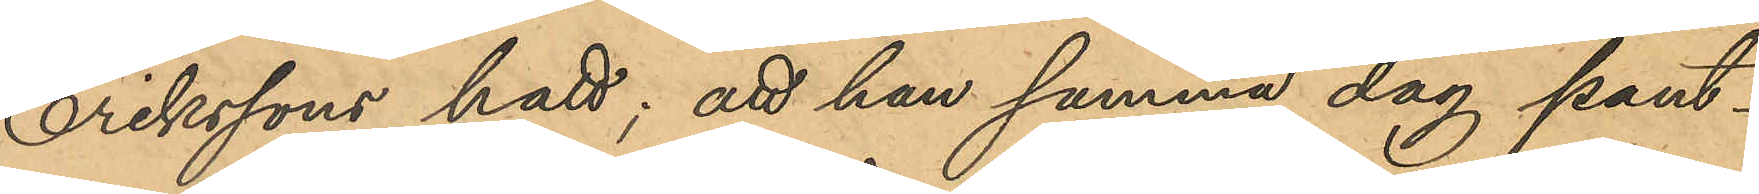Erikssons hatt; att han samma dag pant¬
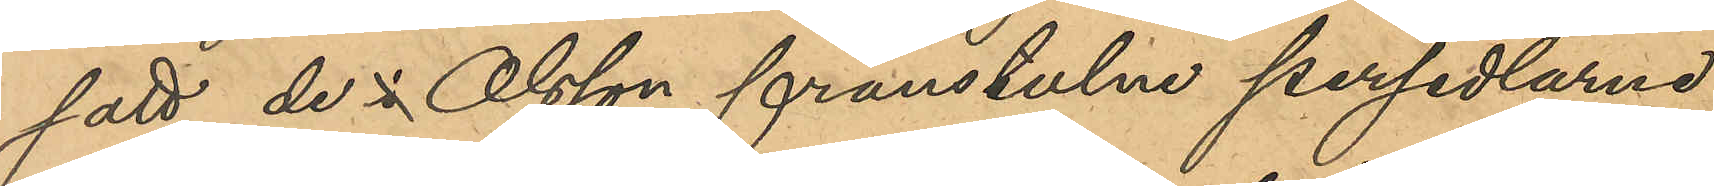satt de i  Olsson frånstulne persedlarne
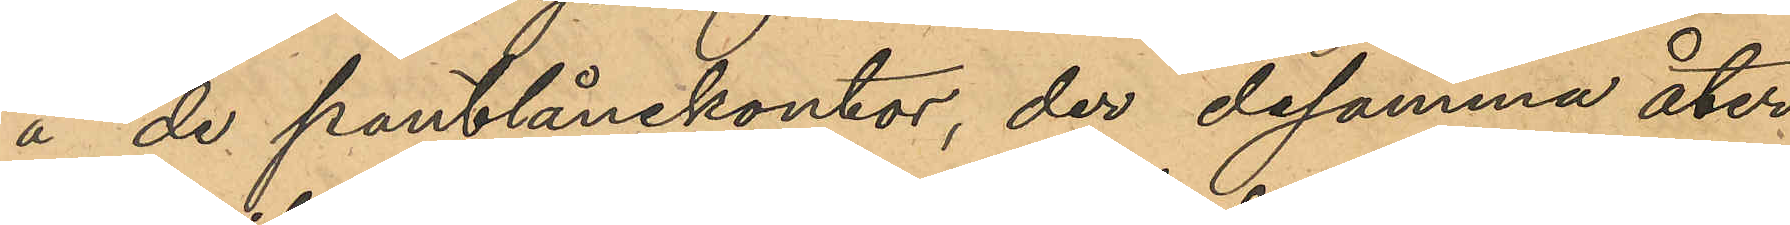å de pantlånekontor, der desamma åter¬
